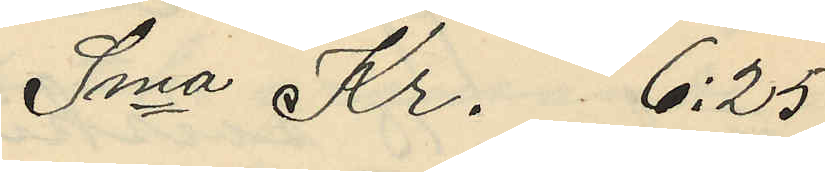Sma Kr. 6:25
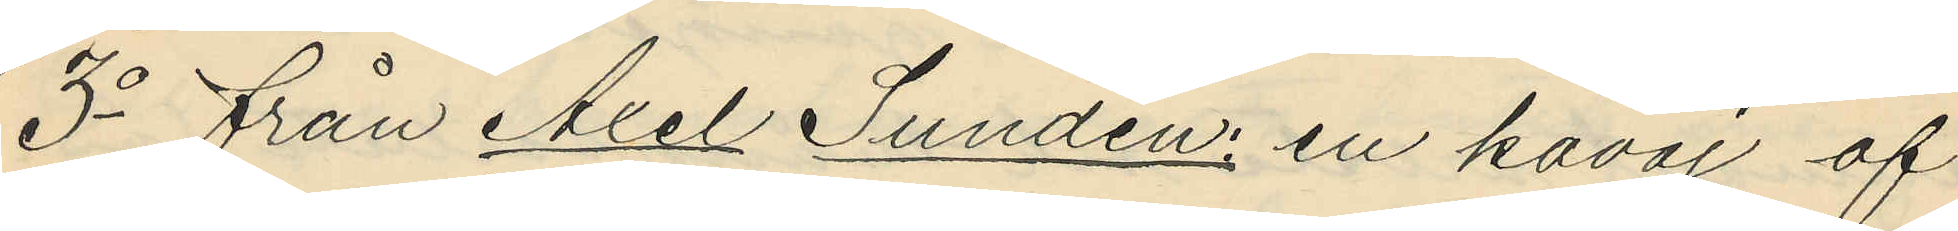3o från Axel Sundén: en kavaj af
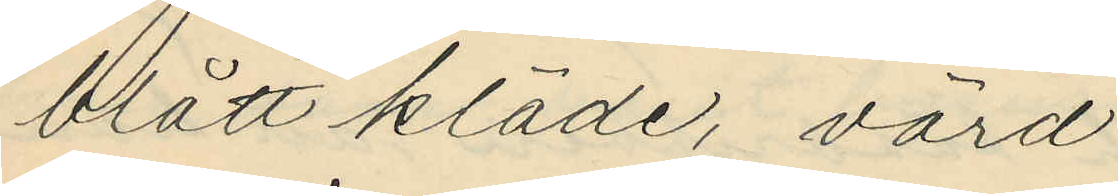blått kläde, värd
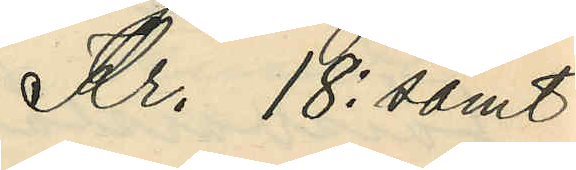Kr. 18: samt
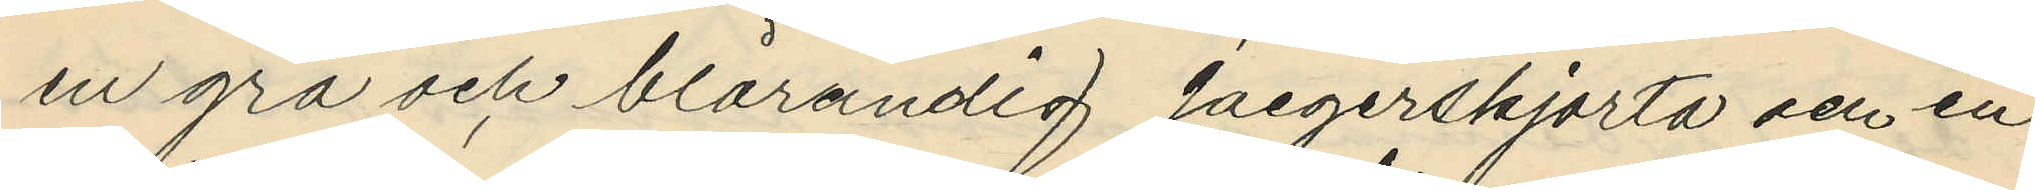en grå och blårandig jaegerskjorta och en
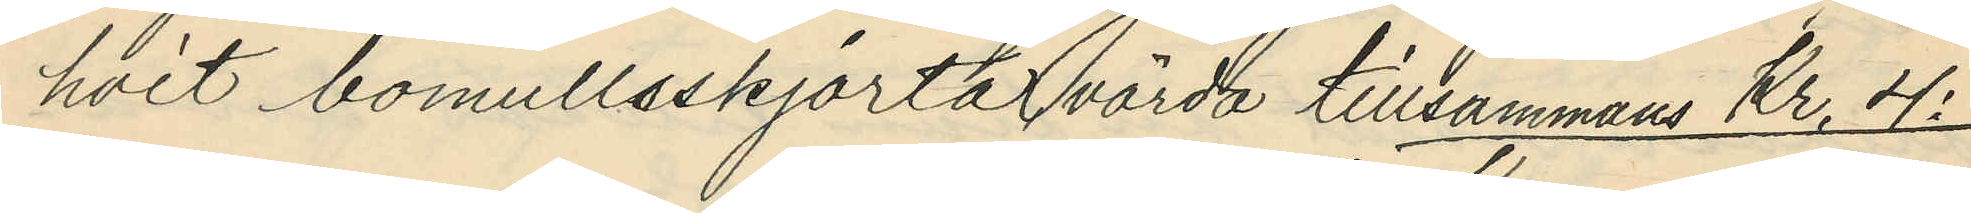hvit bomullsskjorta, värda tillsammans Kr, 4:
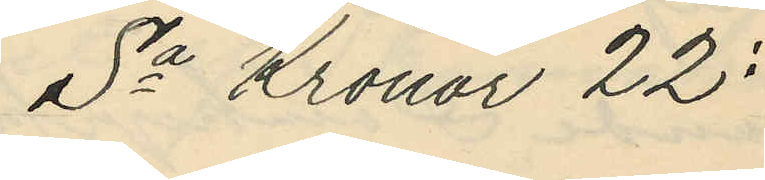Sa Kronor 22:
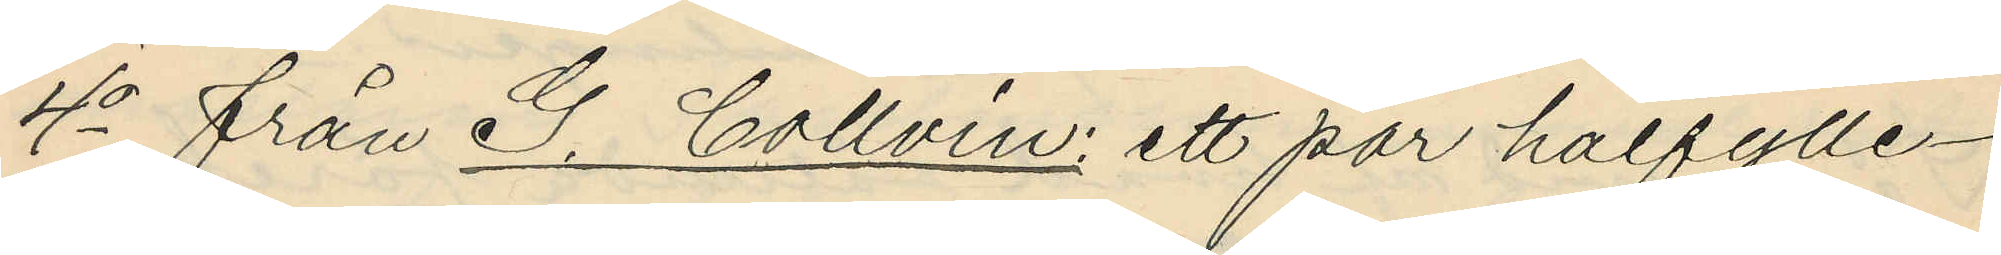4o från G. Collvin: ett par halfylle¬
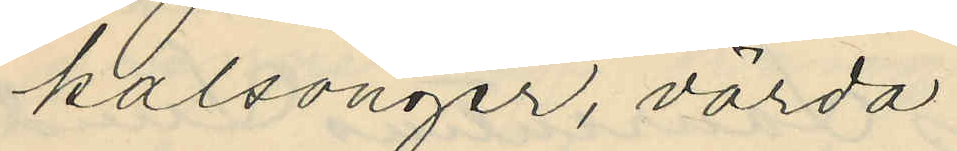kalsonger, värda
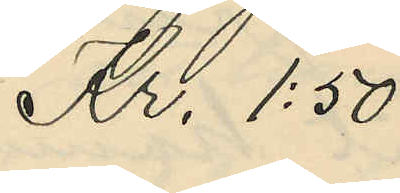Kr. 1:50
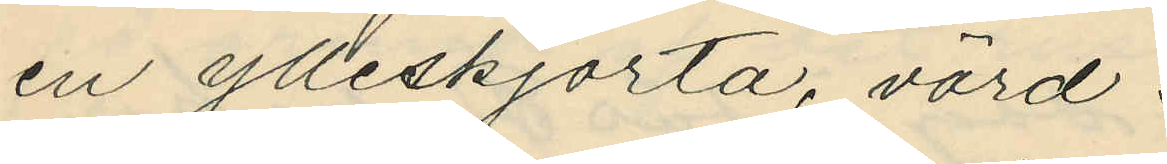en ylleskjorta, värd
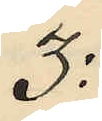3:
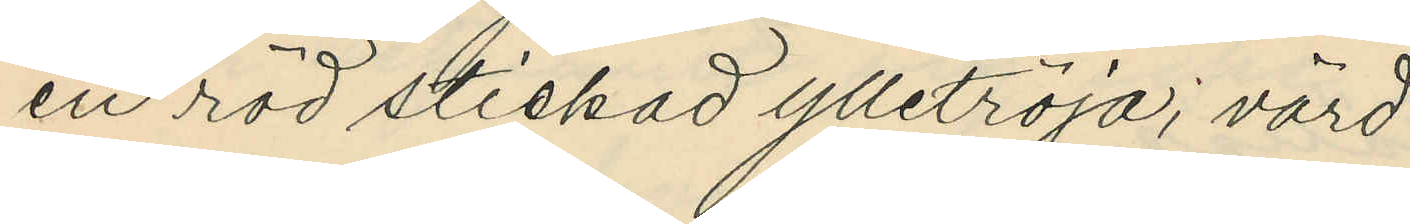en röd stickad ylletröja; värd
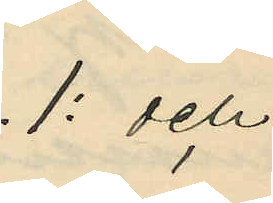1: och
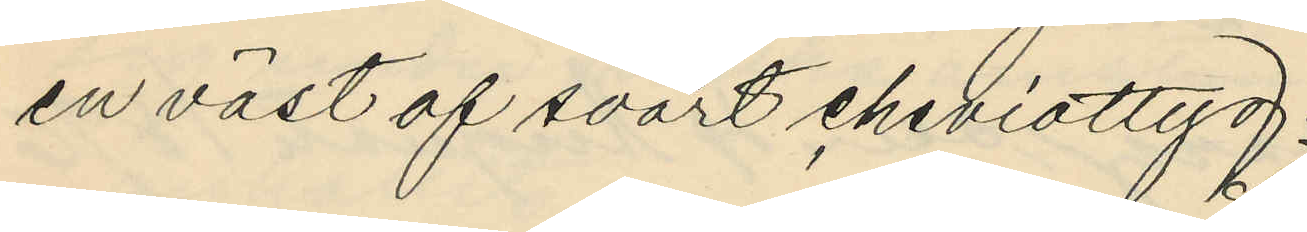en väst af svart cheviottyg
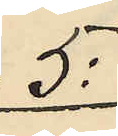5:
